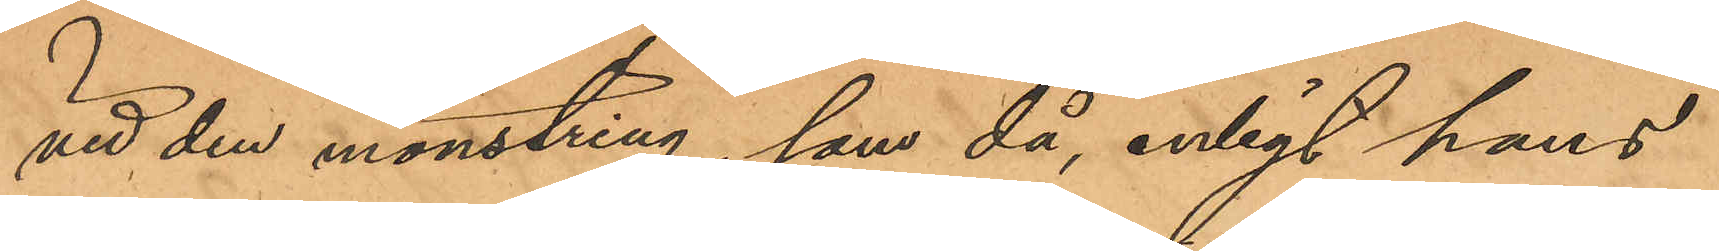vid den mönstring, som då, enligt hans
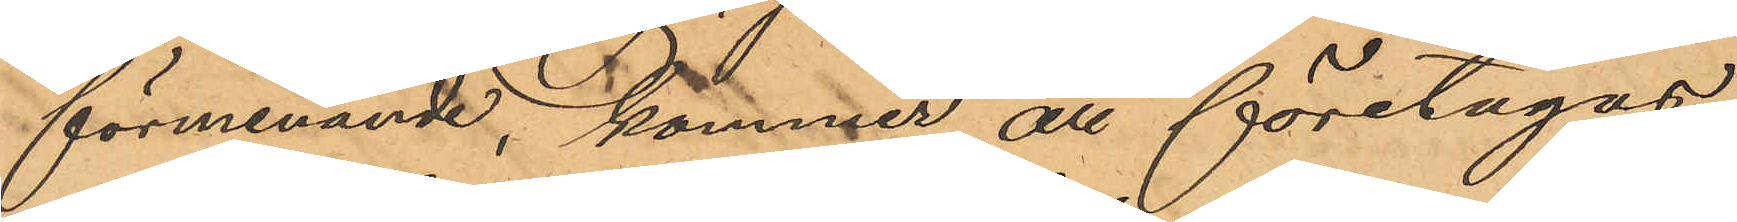förmenande, kommer att företagas
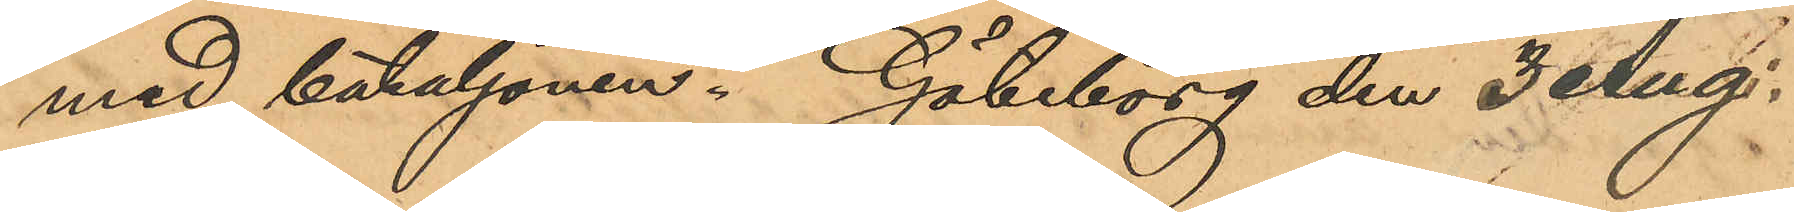med bataljonen. Göteborg den 3 Aug.
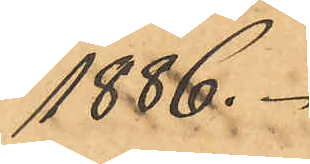1886.
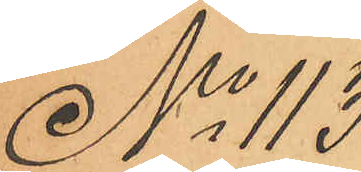No 113
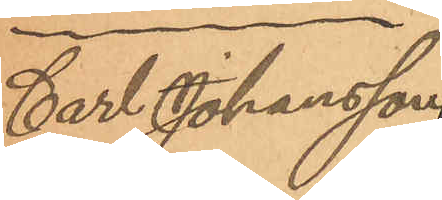Carl Johansson
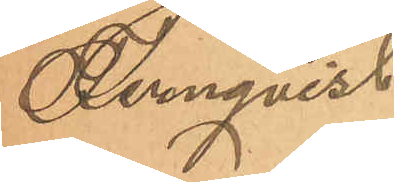Fernqvist
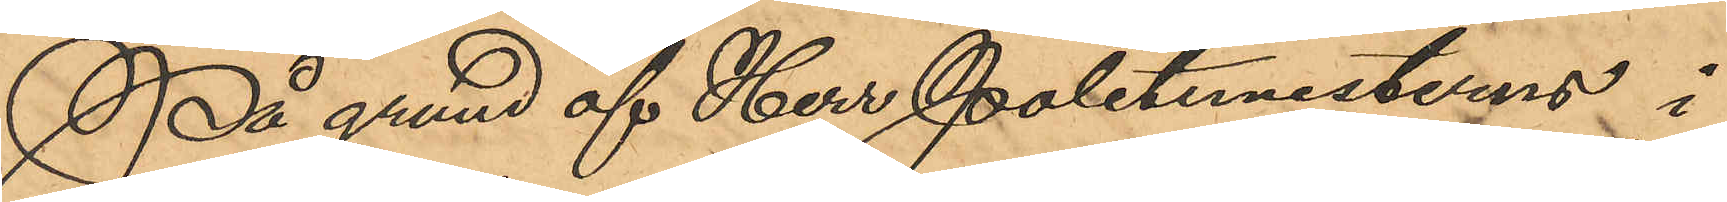På grund af Herr Politimesterens i
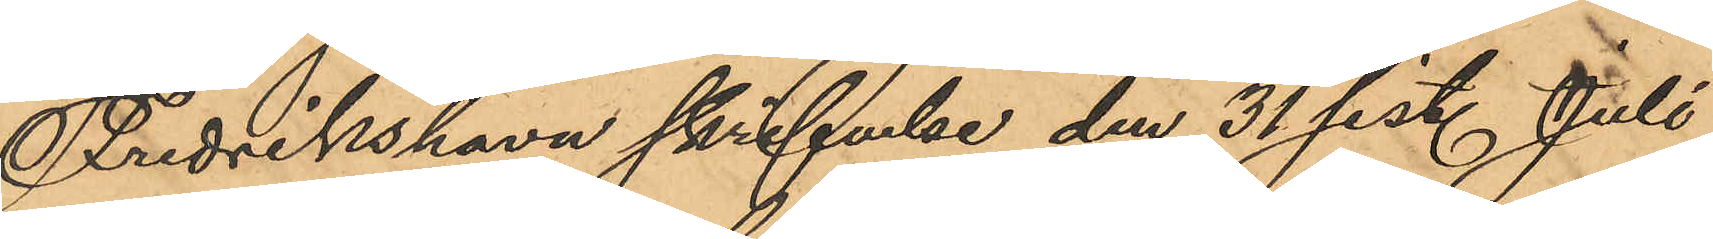Fredrikshavn skrifelse den 31 sist. Juli
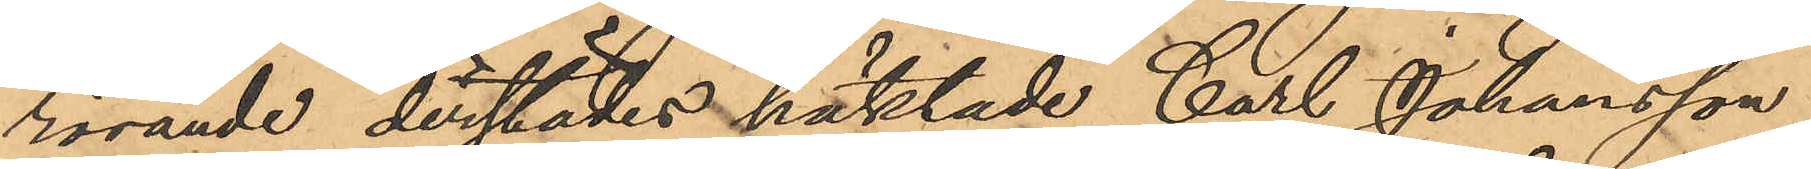rörande derstädes häktade Carl Johansson
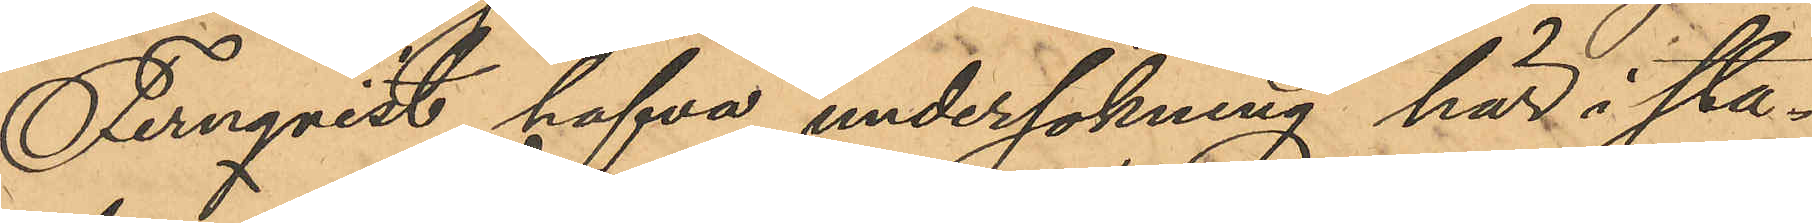Fernqvist, hafva undersökning här i sta¬
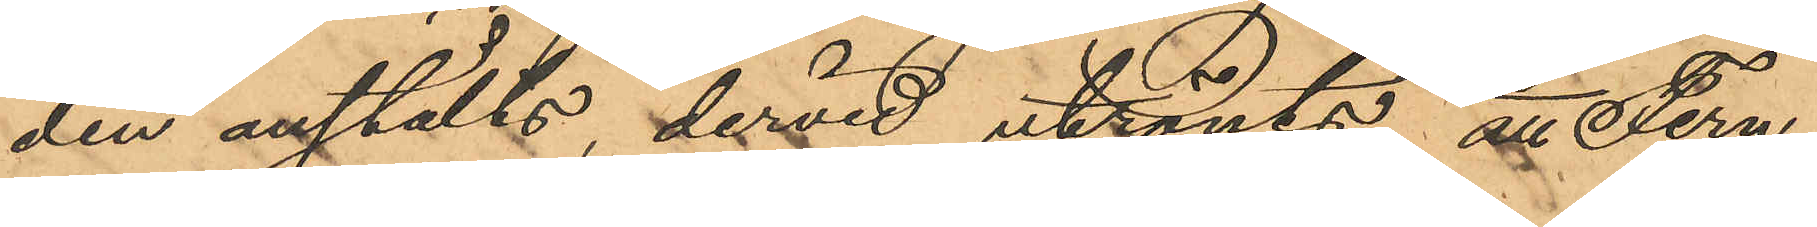den anstälts, dervid utrönts; att Fern¬
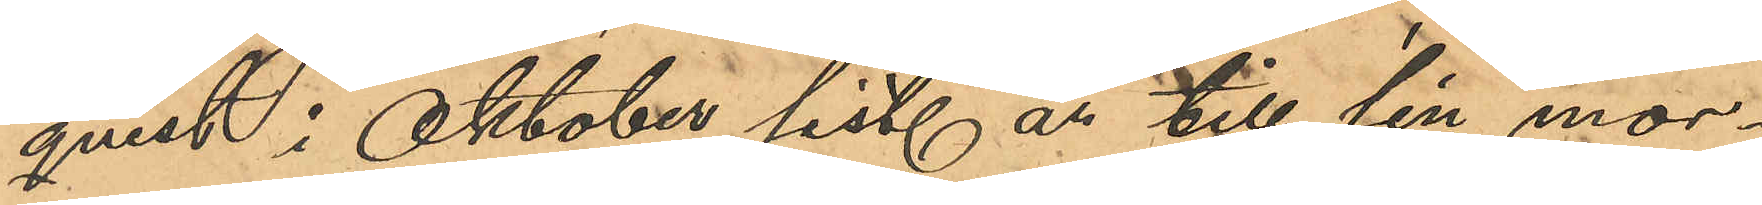qvist i Oktober sist. år till sin mor¬
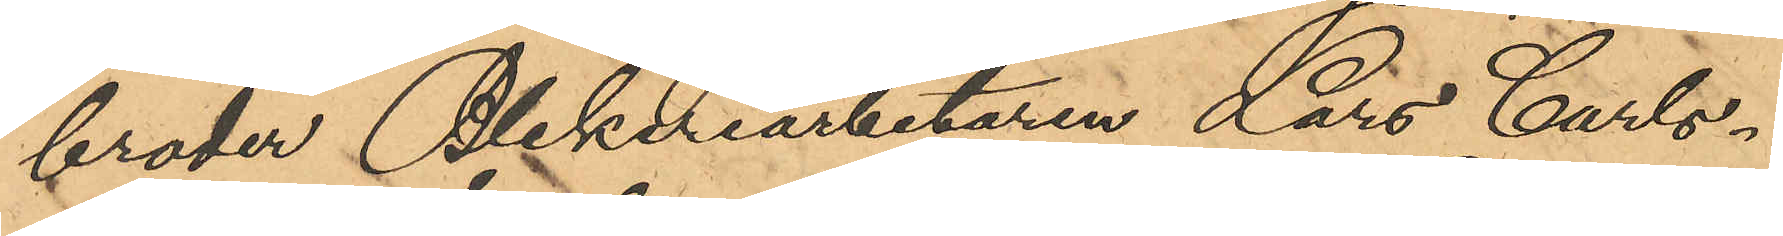broder Blekeriarbetaren Lars Carls¬
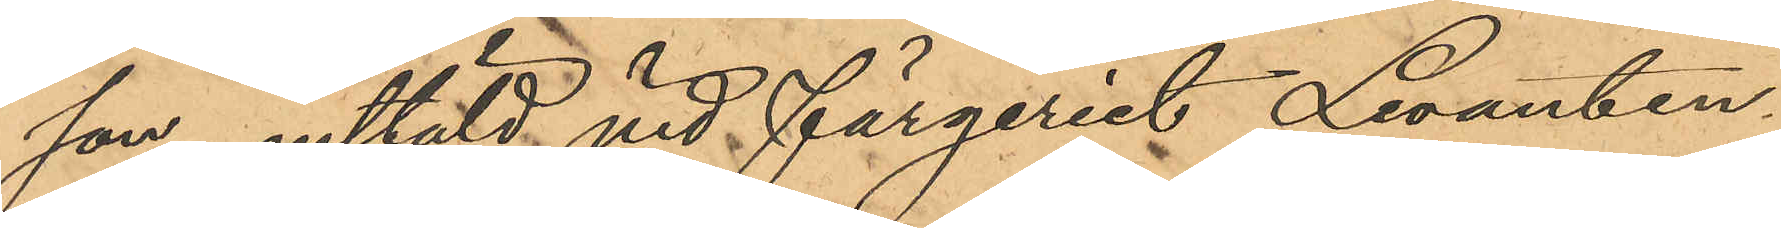son, anstäld vid färgeriet Levanten
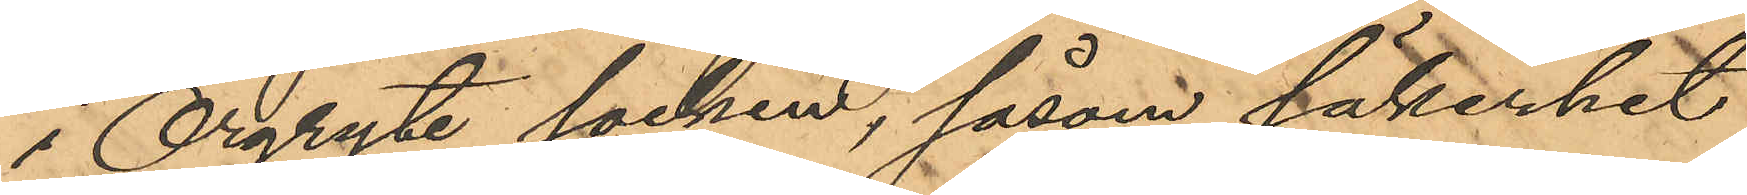i Örgryte socken, såsom säkerhet
